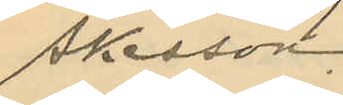Åkesson.
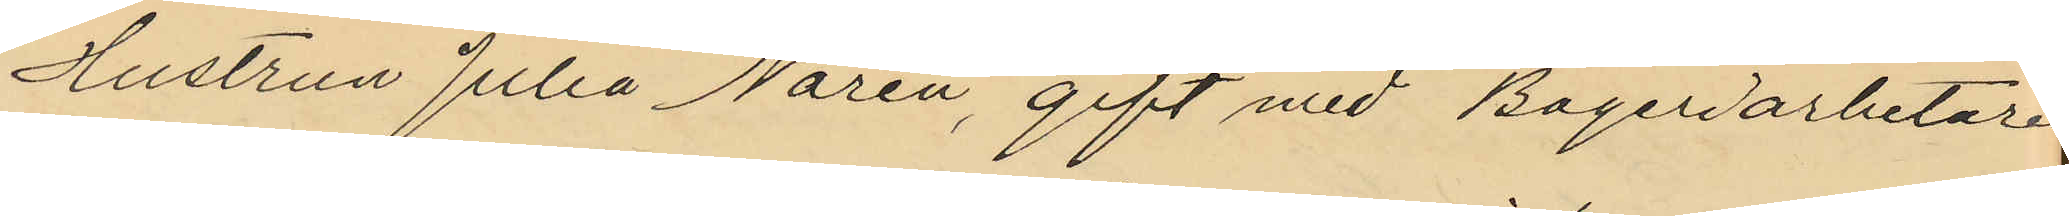Hustrun Julia Norén, gift med Bagerarbetaren
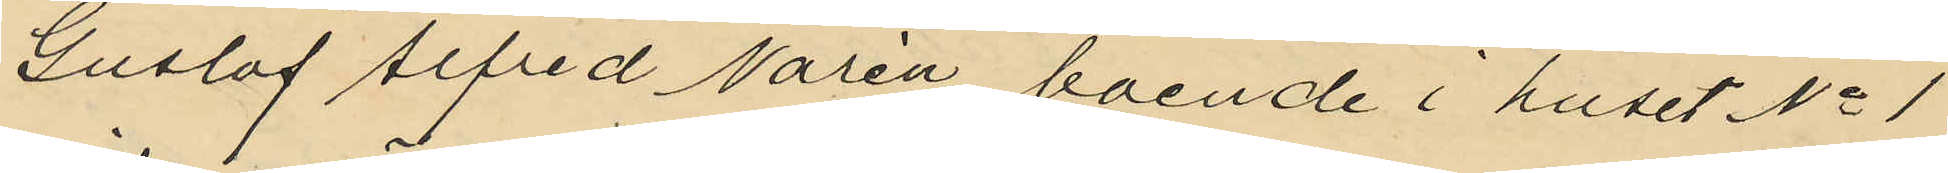Gustaf Alfred Norén, boende i huset No 1
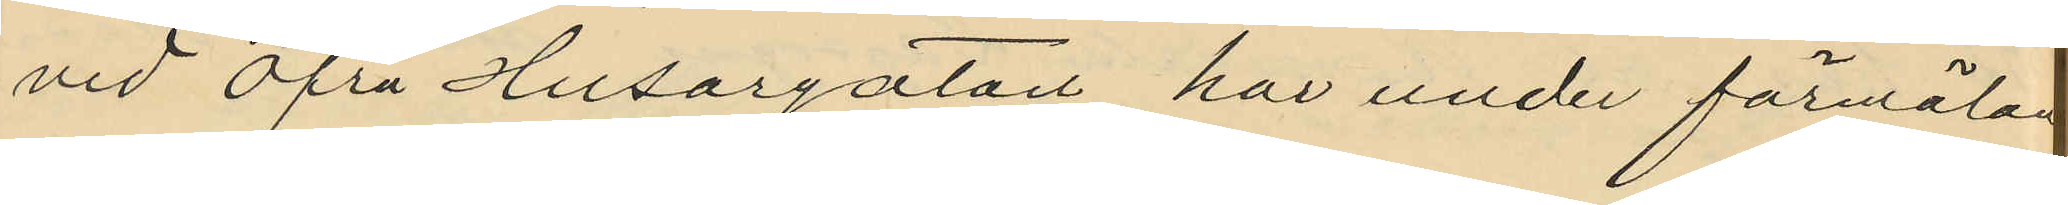vid Öfra Husargatan har under förmälan
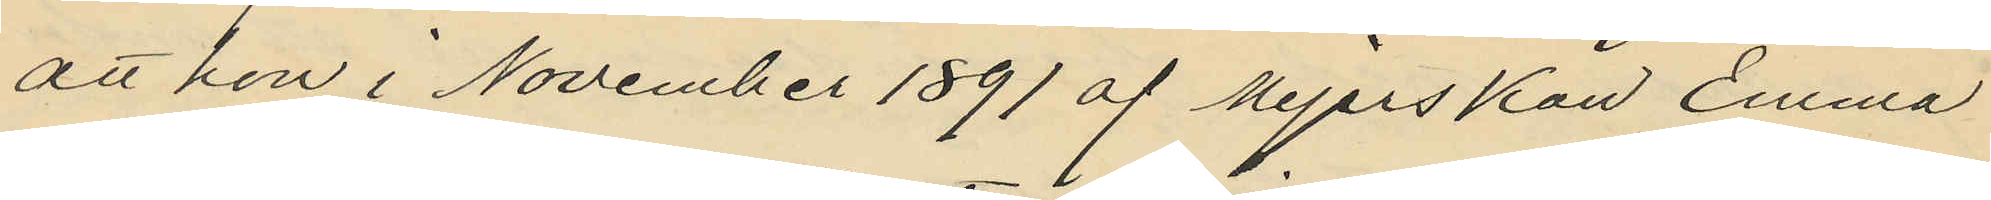att hon i November 1891 af Mejerskan Emma
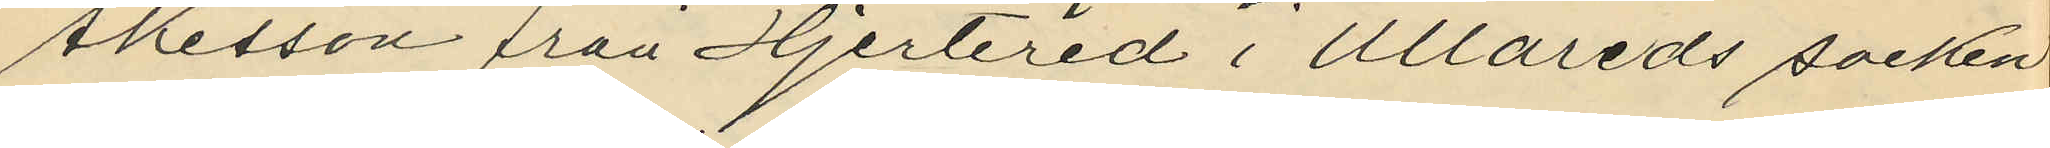Åkesson från Hjertered i Ullareds socken
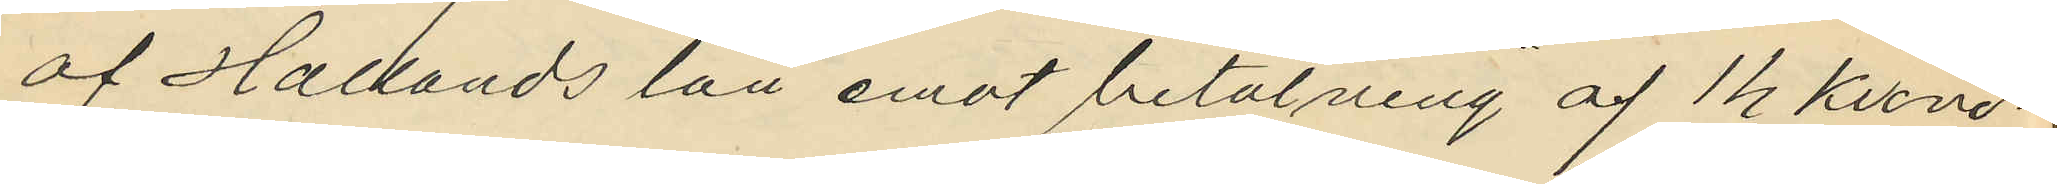af Hallands län emot betalning af 14 Kronor
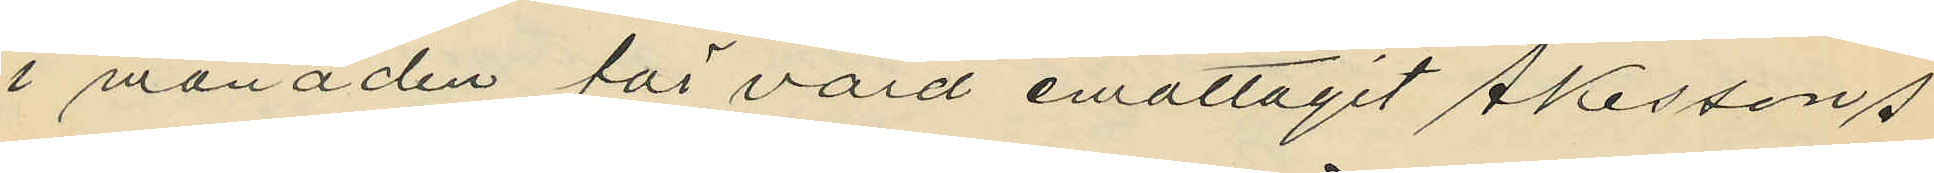i månaden för vård emottagit Åkessons
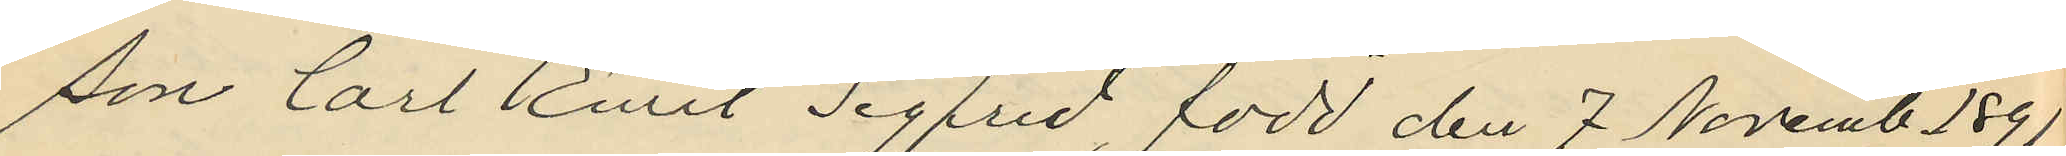son Carl Emil Sigfrid, född den 7 Novemb 1891
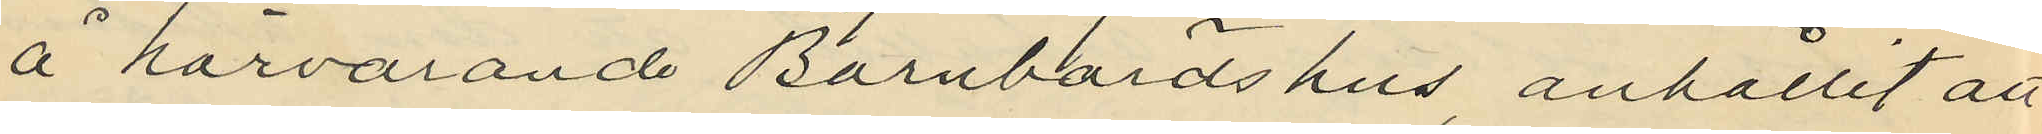å härvarande Barnbördshus, anhållit att
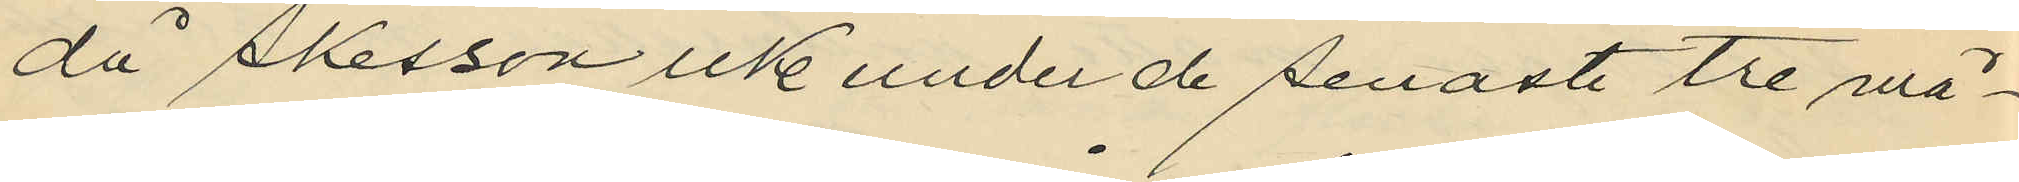då Åkesson icke under de senaste tre må¬
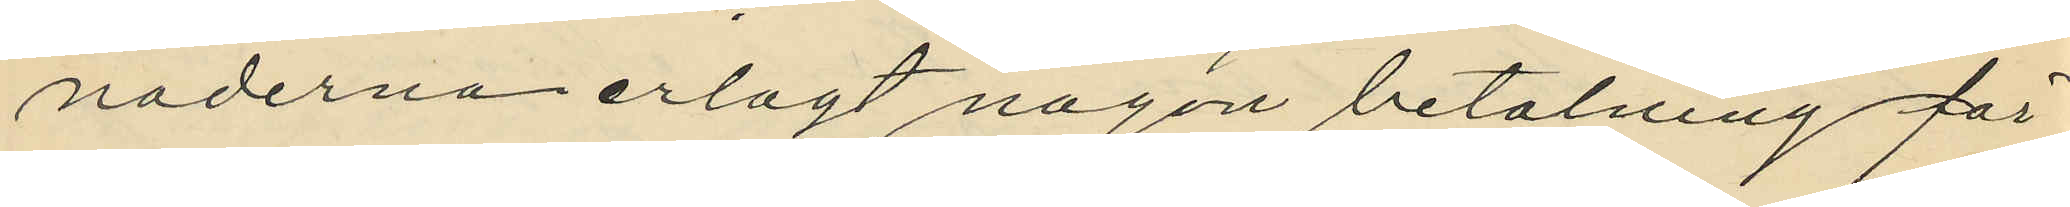naderna erlagt någon betalning för
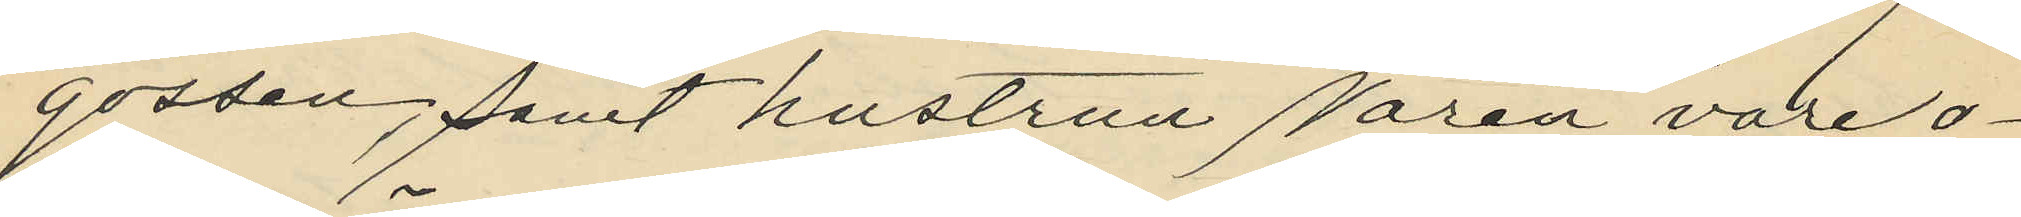gossen, samt hustrun Norén vore o¬
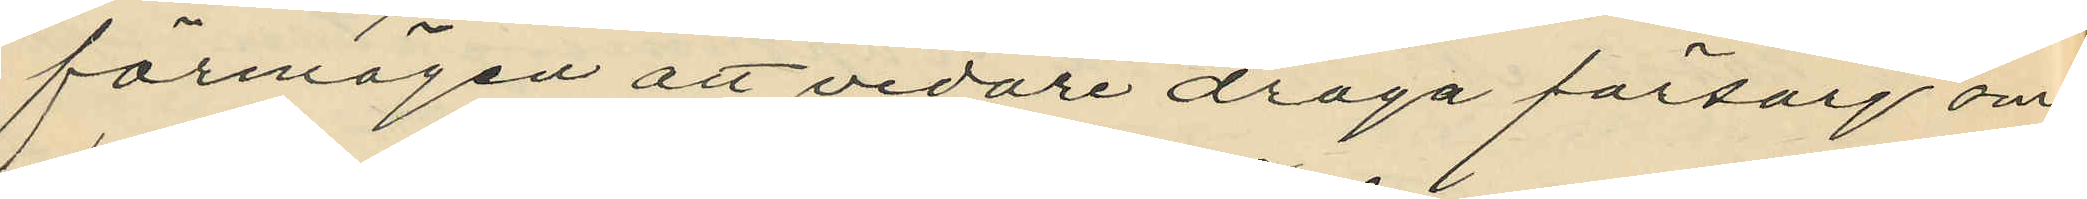förmögen att vidare draga försorg om
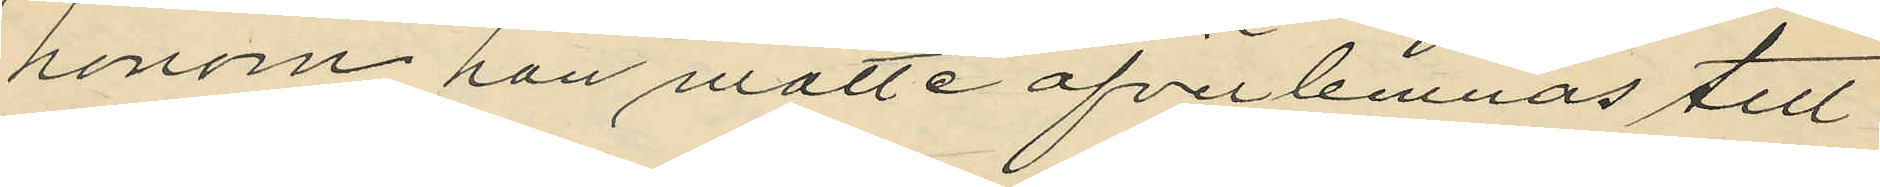honom han måtte öfverlemnas till
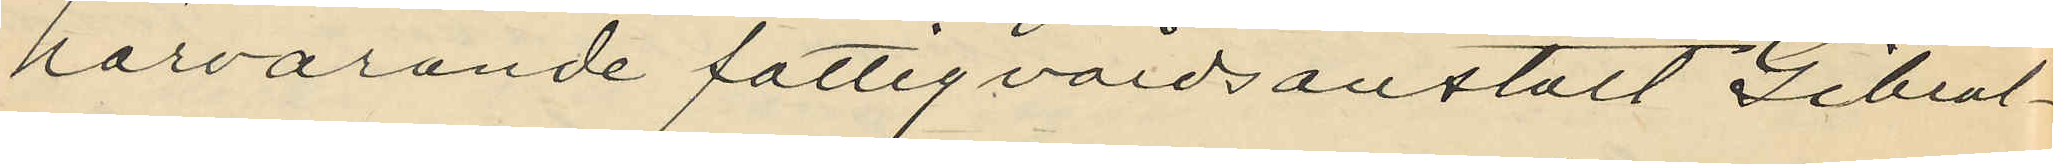härvarande fattigvårdsanstalt Gibral¬
